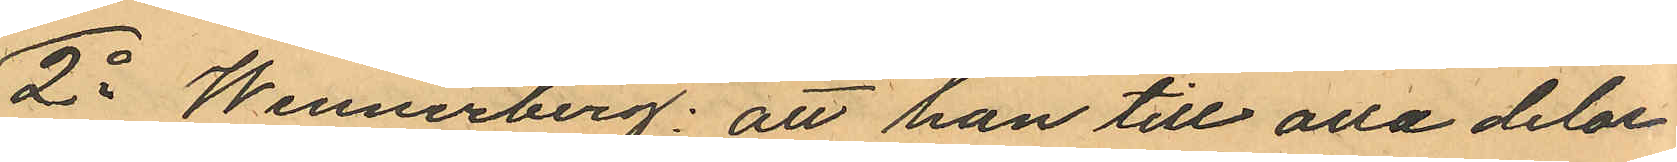2o Wennerberg: att han till alla delar
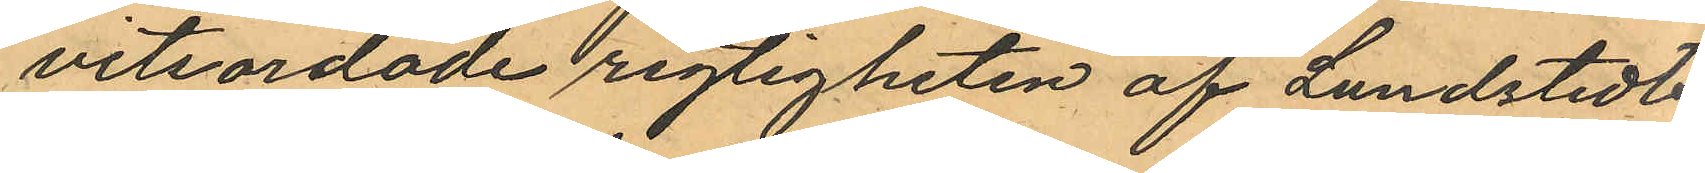vitsordade rigtigheten af Lundstedts
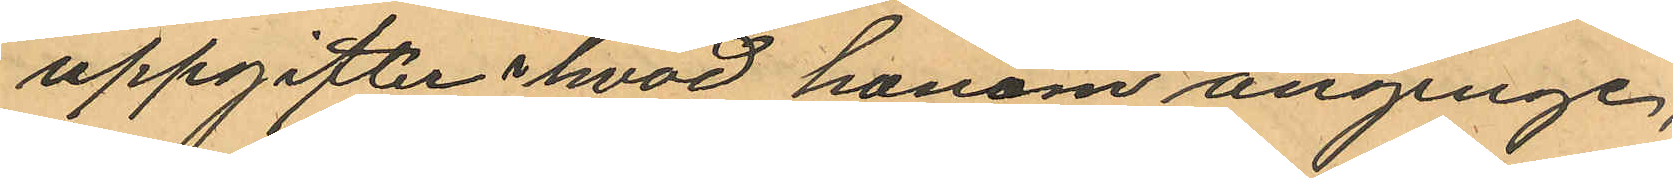uppgifter i hvad honom anginge,
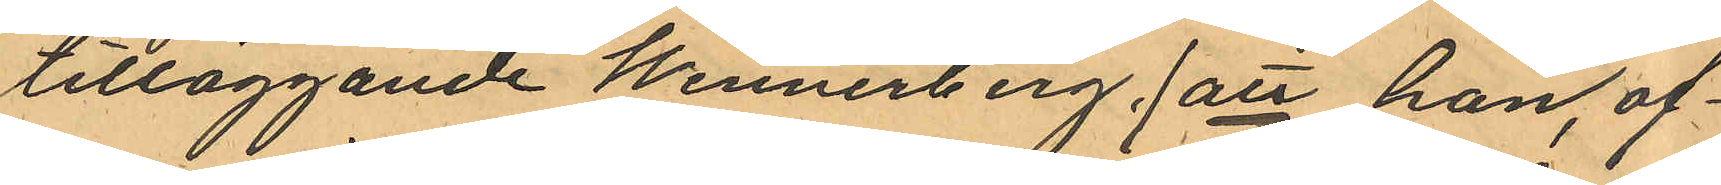tilläggande Wennerberg, att han, of¬
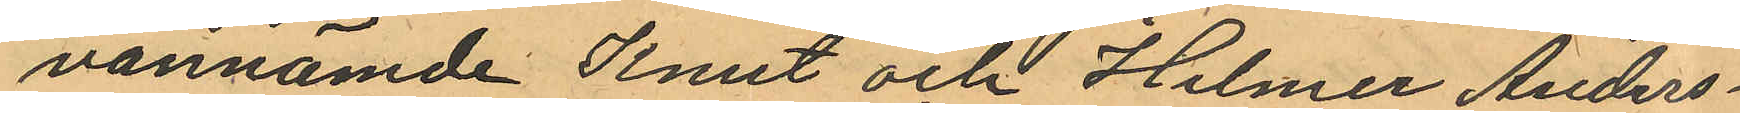vannämde Knut och Helmer Anders¬
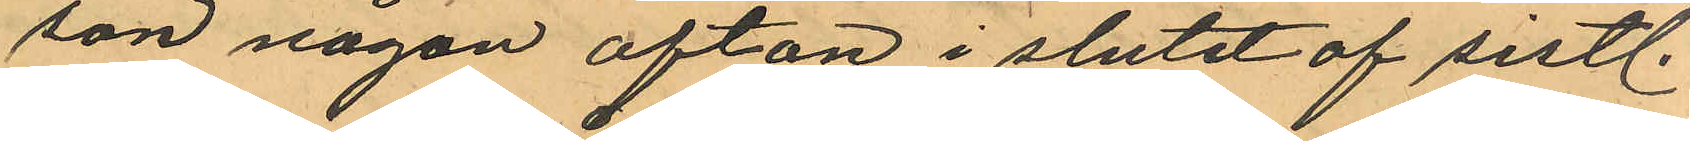son någon afton i slutet af sistl.
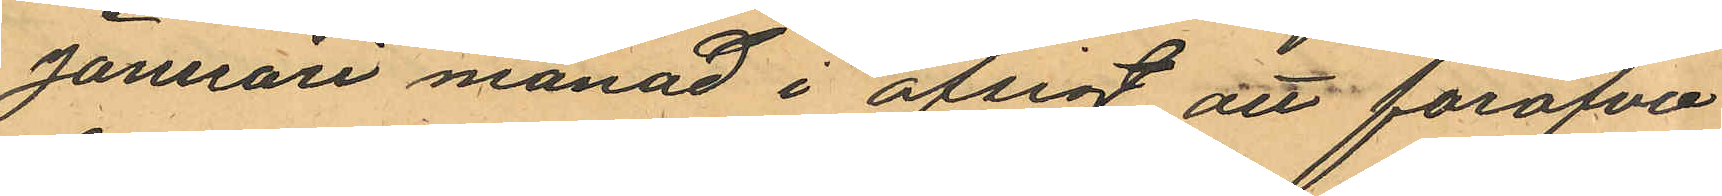Januari månad i afsigt att föröfva
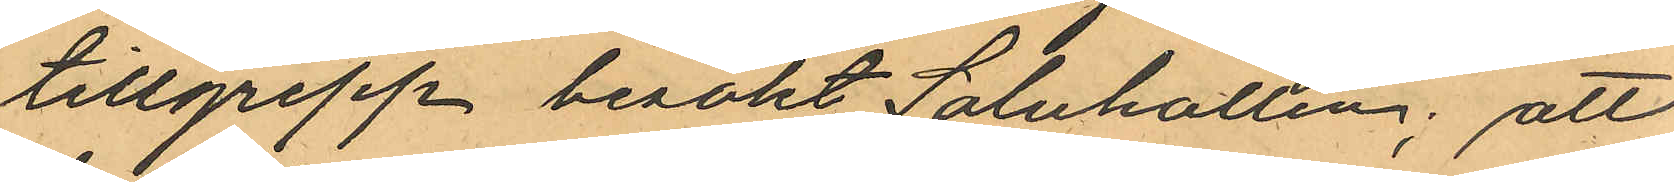tillgrepp besökt Saluhallen; att
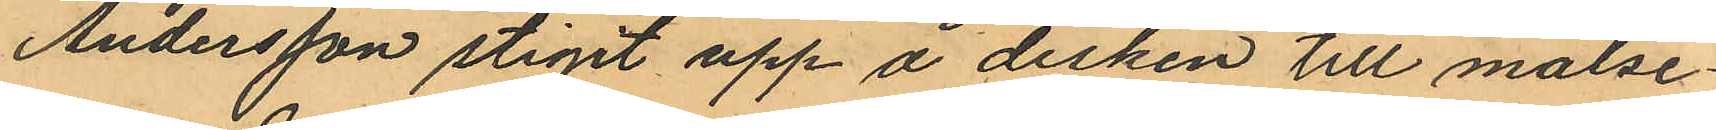Andersson stigit upp å disken till målse¬
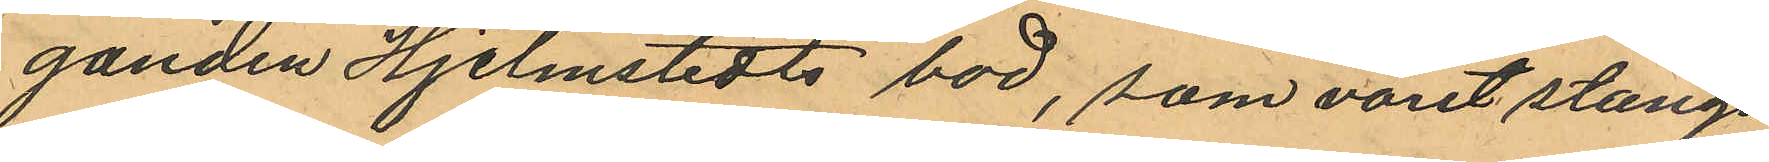ganden Hjelmstedts bod, som varit stängd
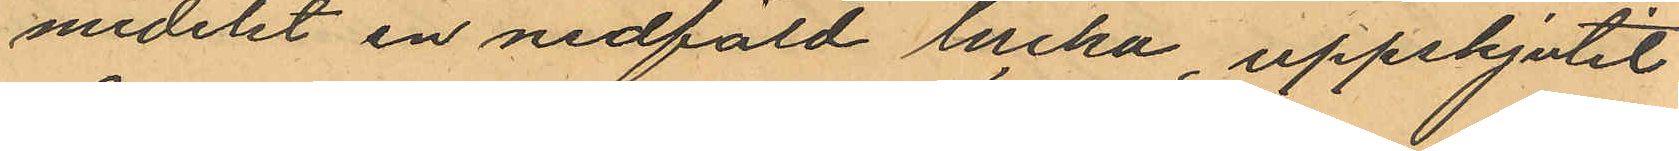medelst en nedfäld lucka, uppskjutit
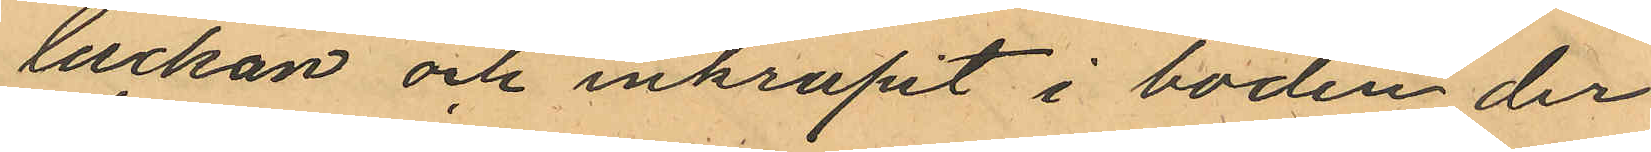luckan och inkrupit i boden der
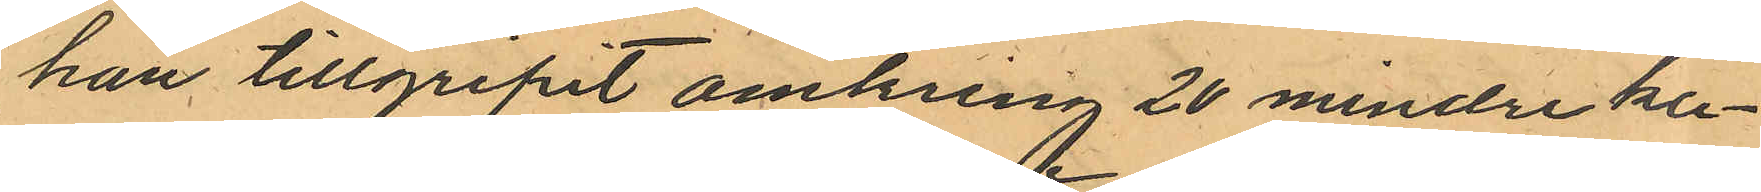han tillgripit omkring 20 mindre ka¬
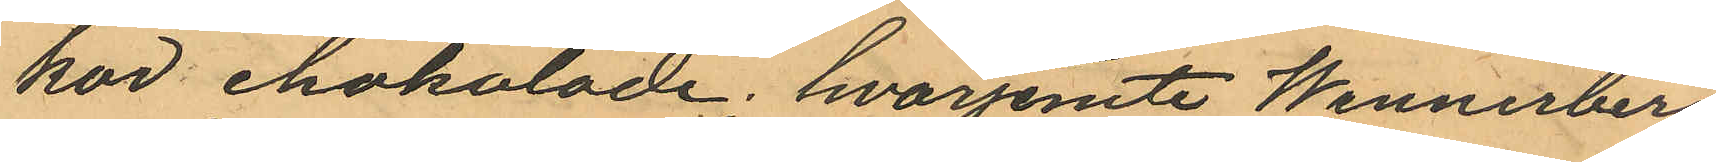kor chokolade; hvarjemte Wennerberg
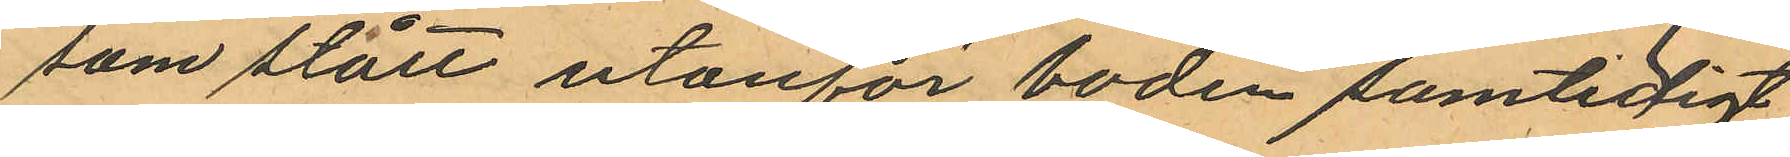som stått utanför boden samtidigt
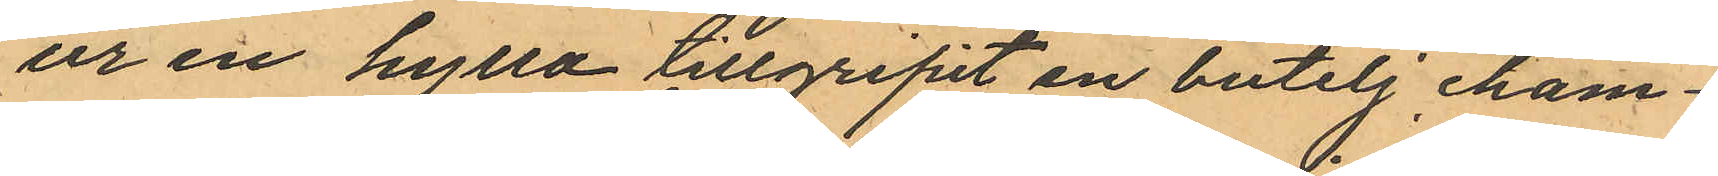ur en hylla tillgripit en butelj cham¬
